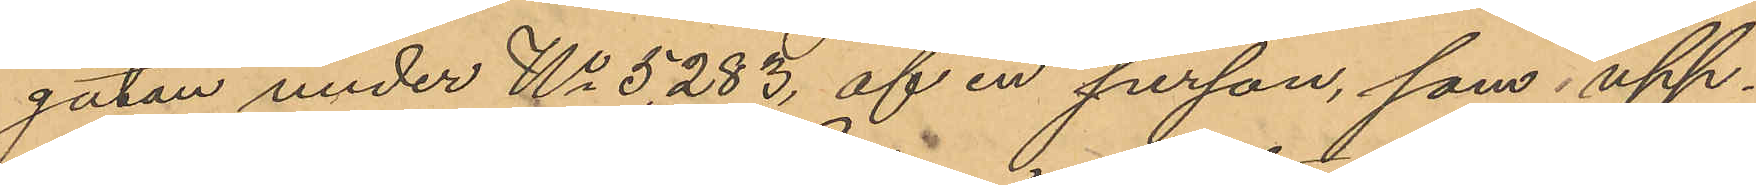gatan under No 5283, af en person, som upp¬
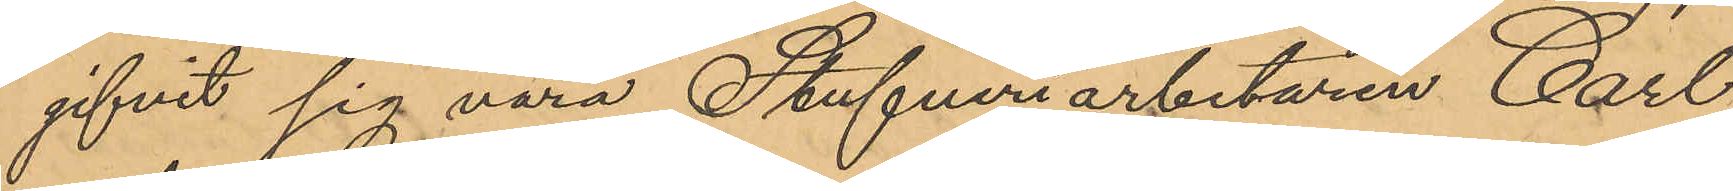gifvit sig vara Stufveriarbetaren Carl
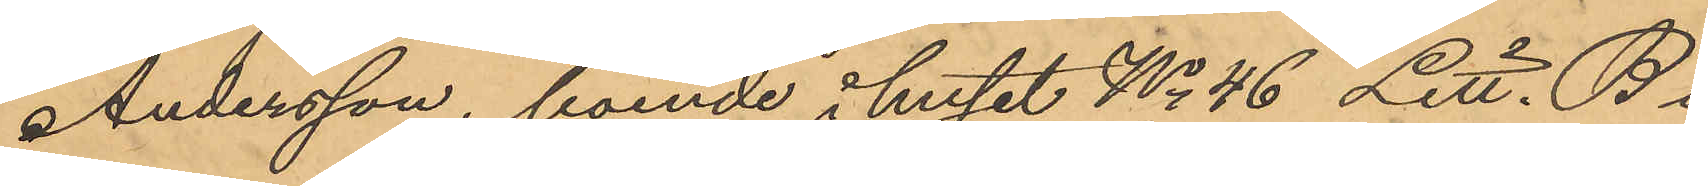Andersson, boende i huset No 46 Litt. B
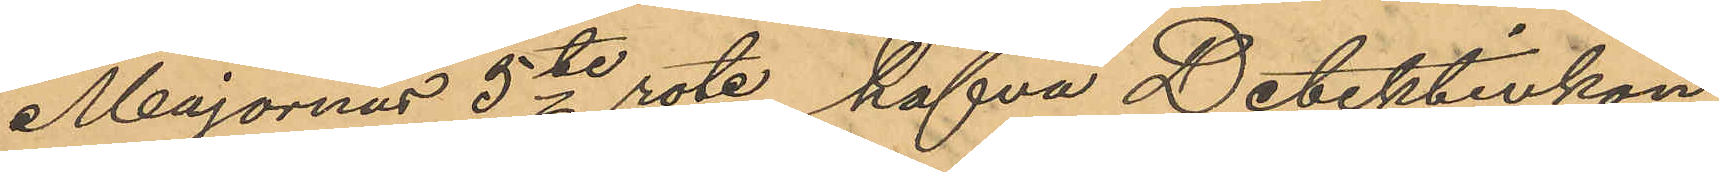Majornas 5te rote, hafva Detektivkon¬
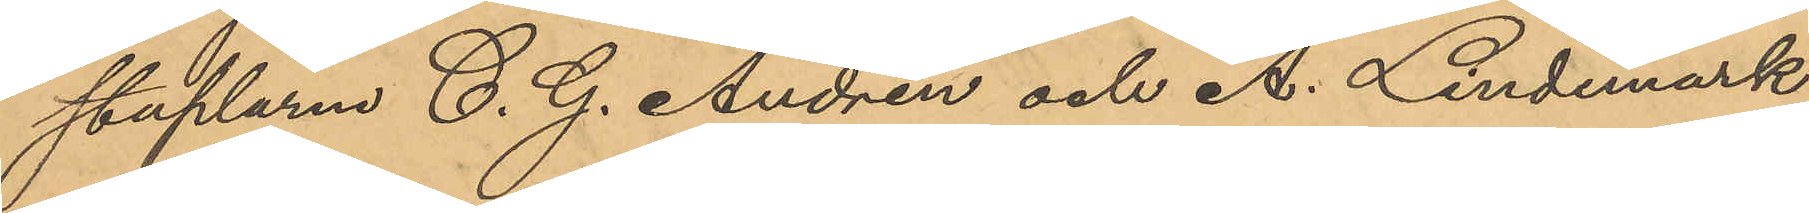staplarne C. G. Andrén och A. Lindemark
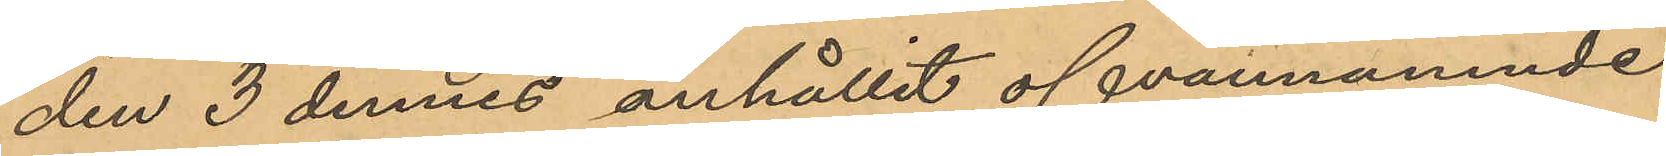den 3 dennes anhållit ofvannämnde
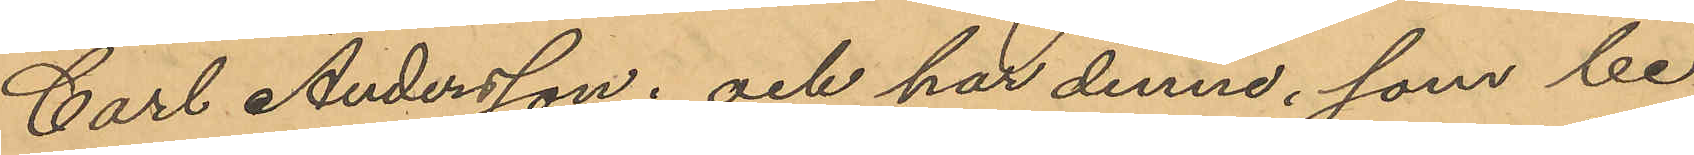Carl Andersson; och har denne, som be¬
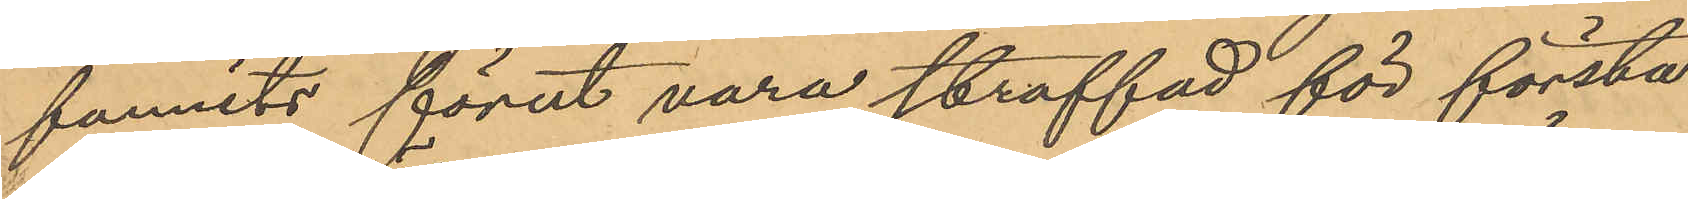funnits förut vara straffad för första
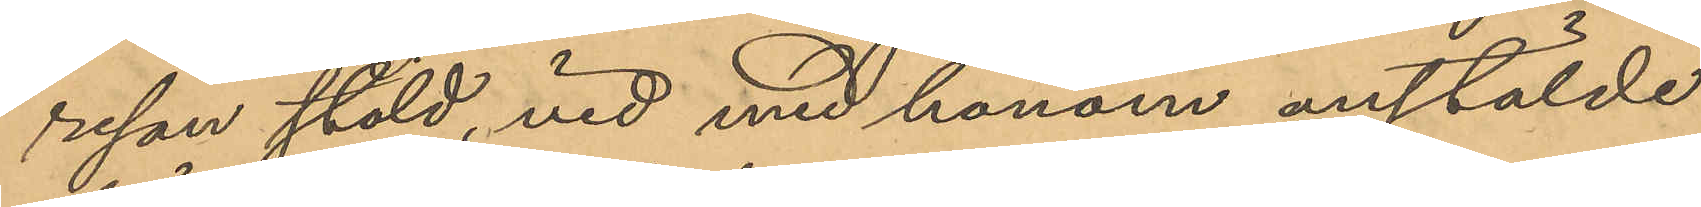resan stöld, vid med honom anstälde
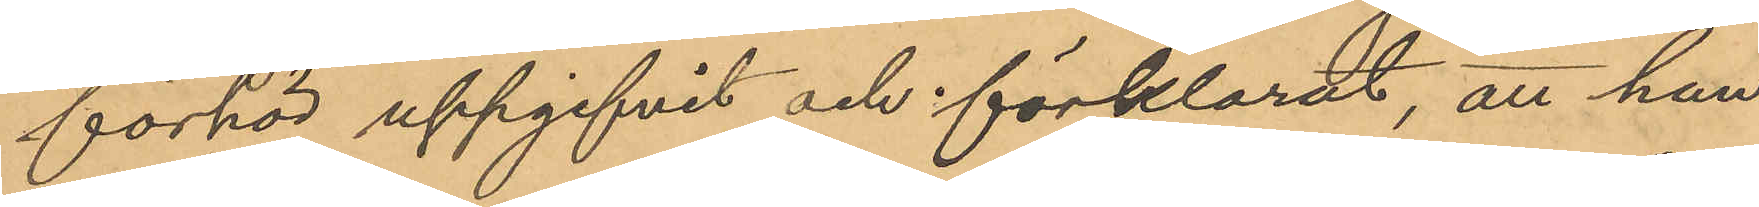förhör uppgifvit och förklarat, att han
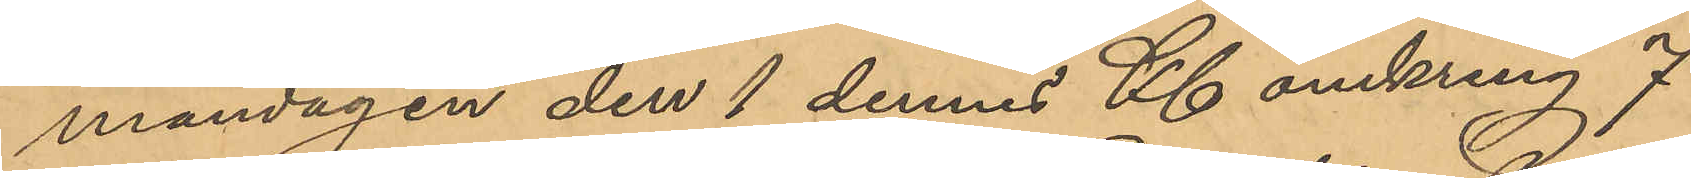måndagen den 1 dennes Kl omkring 7
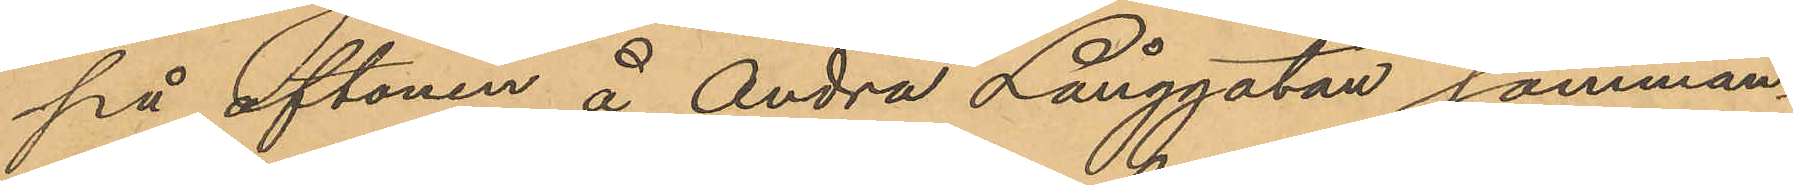på aftonen å Andra Långgatan samman¬
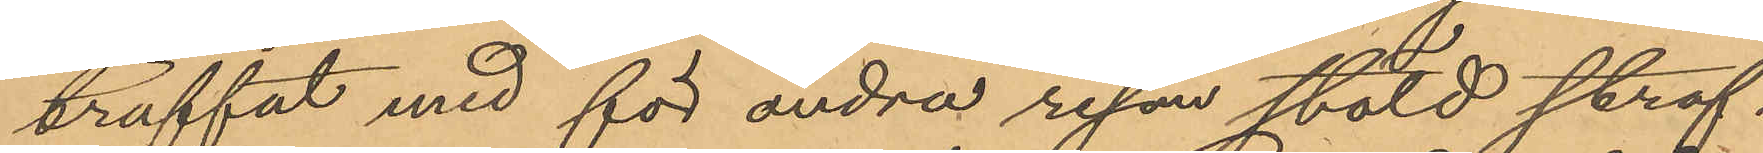träffat med för andra resan stöld straf¬
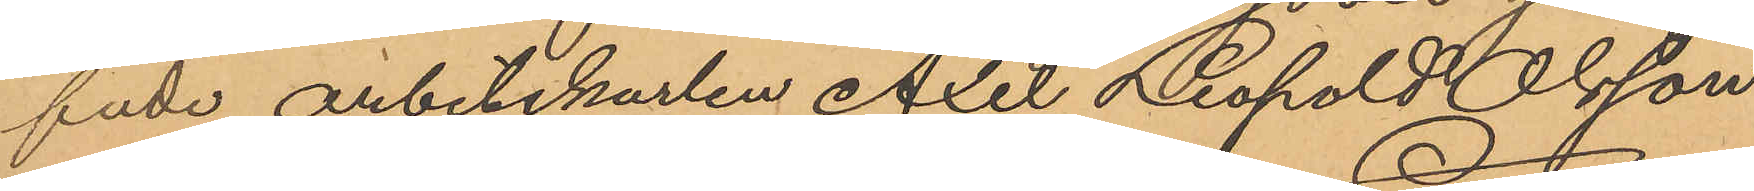fade arbetskarlen Axel Leopold Olsson
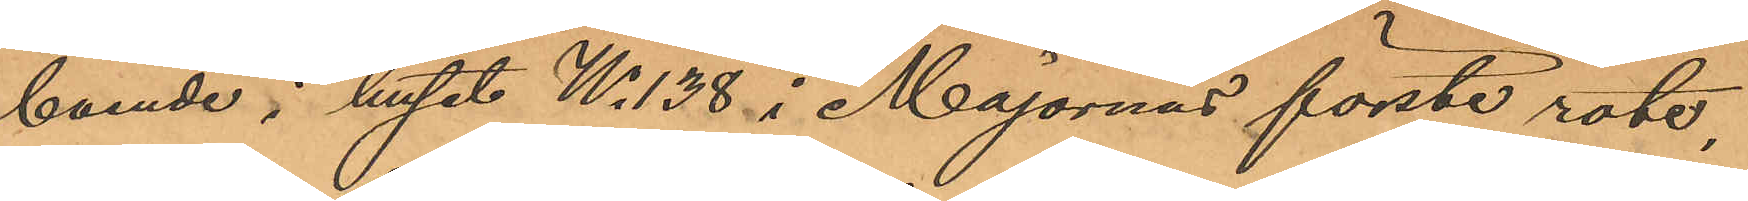boende i huset No 138 i Majornas förste rote,
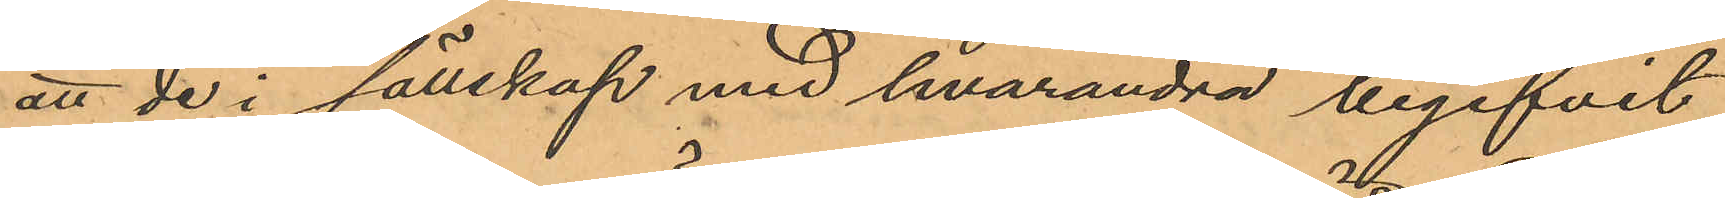att de i sällskap med hvarandra begifvit
